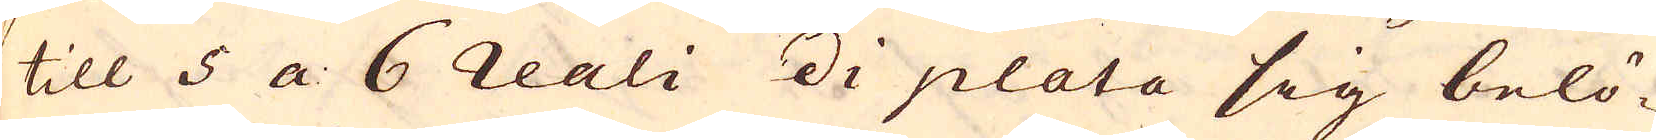till 5 a 6 reali di plata sig belö-
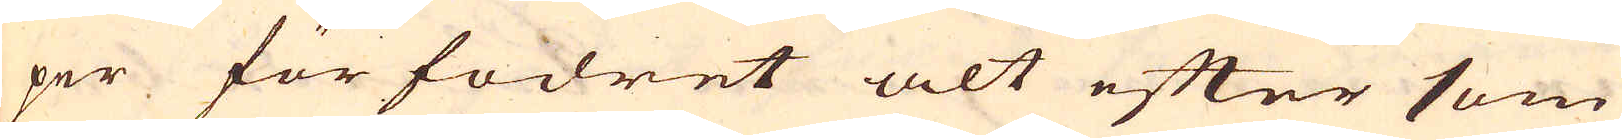per för fodret alt efter som
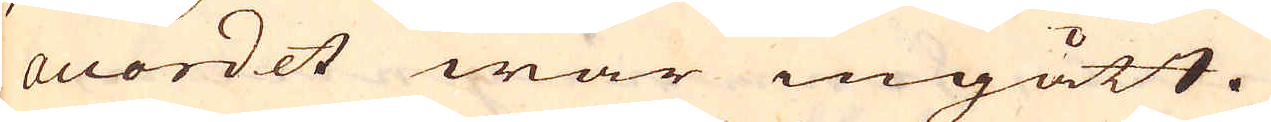accordet war ingått.
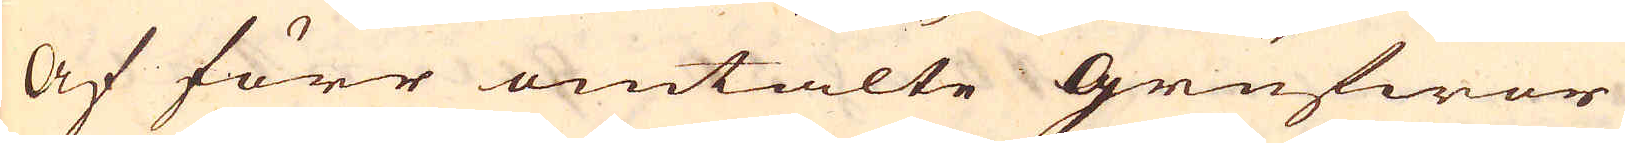Af förr omtalte grufwor
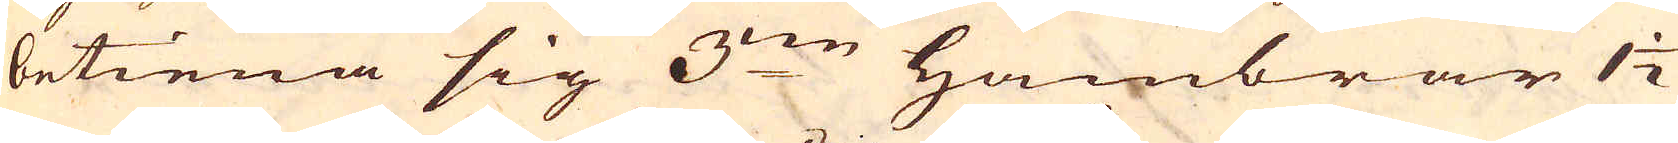betiena sig 3:ne hambrar 1 1/2
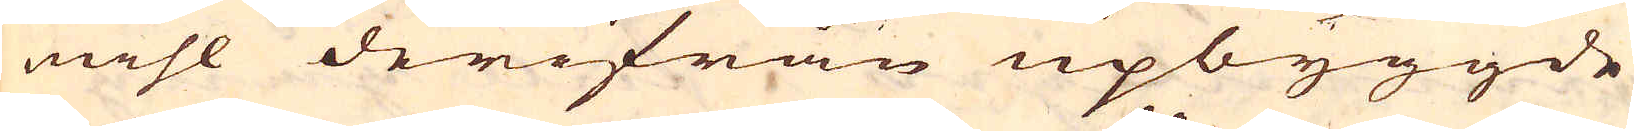mihl derifrån upbyggde
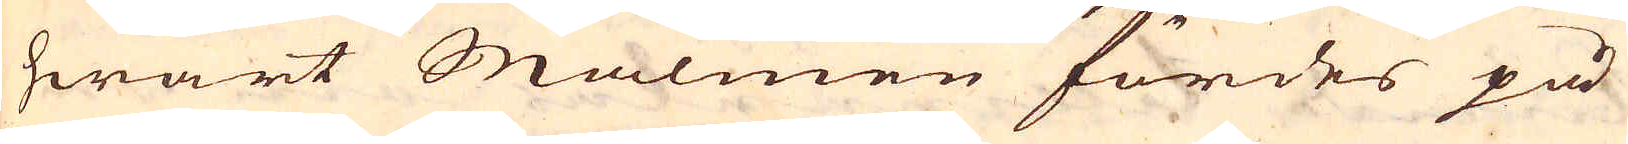hwart Malmen fördes på
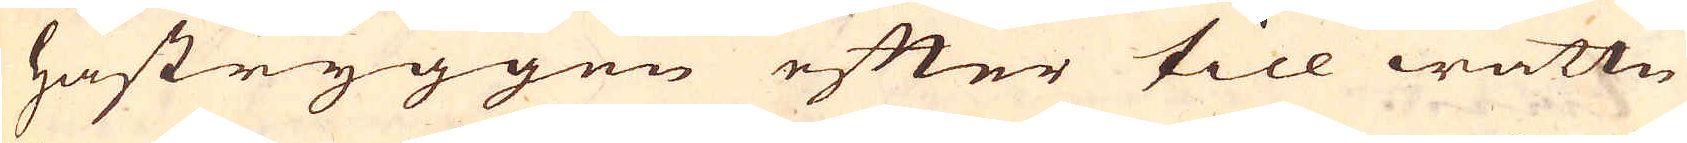hästryggen efter till wattn
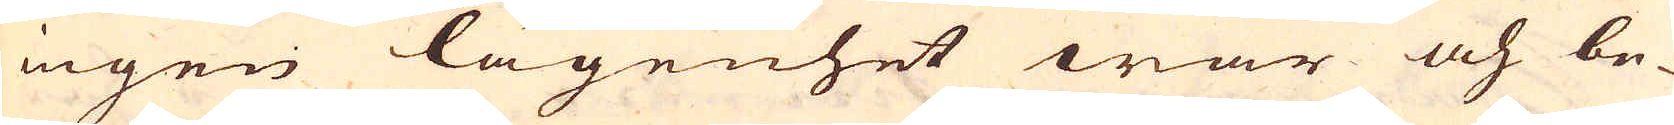ingen lägenhet war och be-
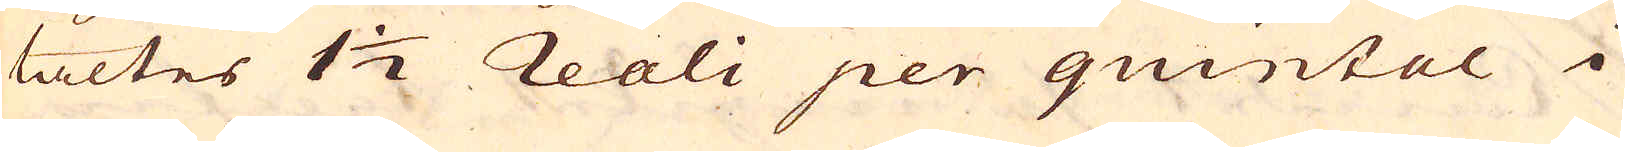taltes 1 1/2 reali per quintal i
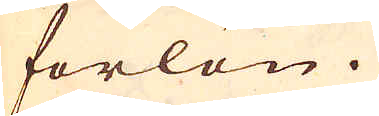forlön.
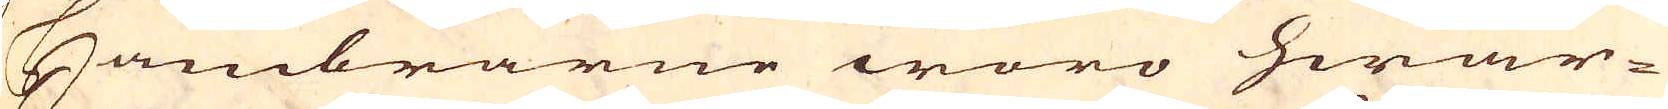Hambrarne woro hwar-
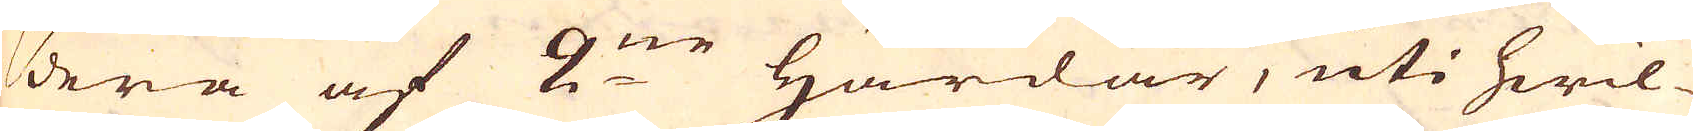dera af 2:ne härdar, uti hwil-
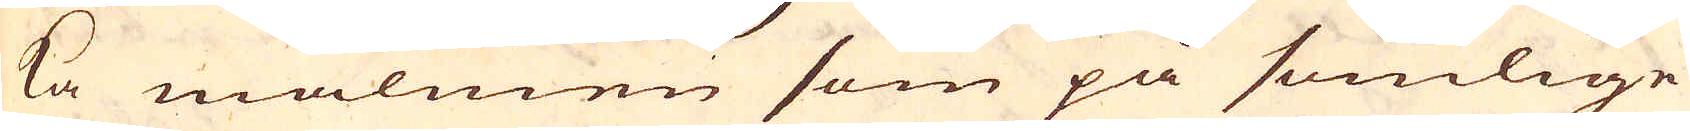ka malmen som på somlige
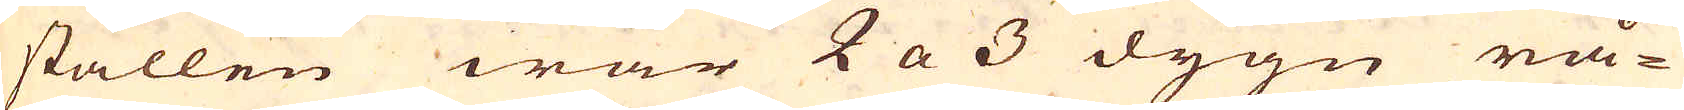ställen war 2 a 3 dygn rå-
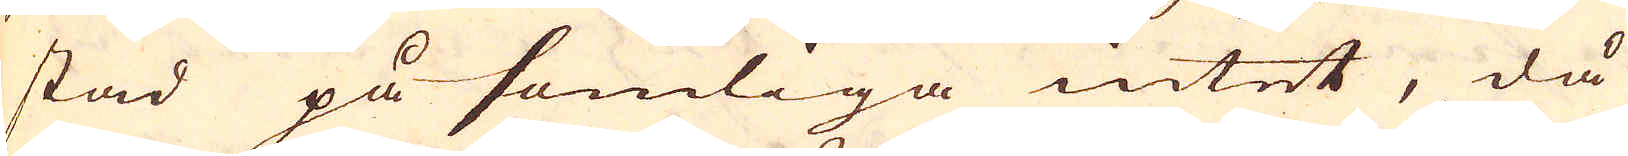stad på somliga intet, då
